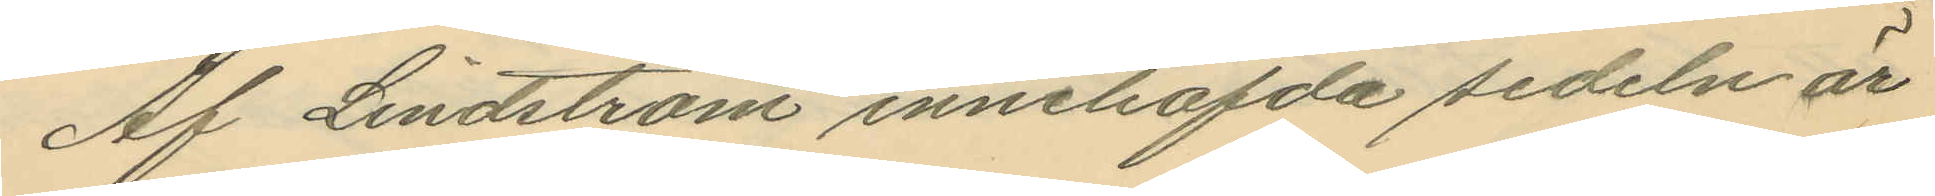Af Lindström innehafda sedeln är
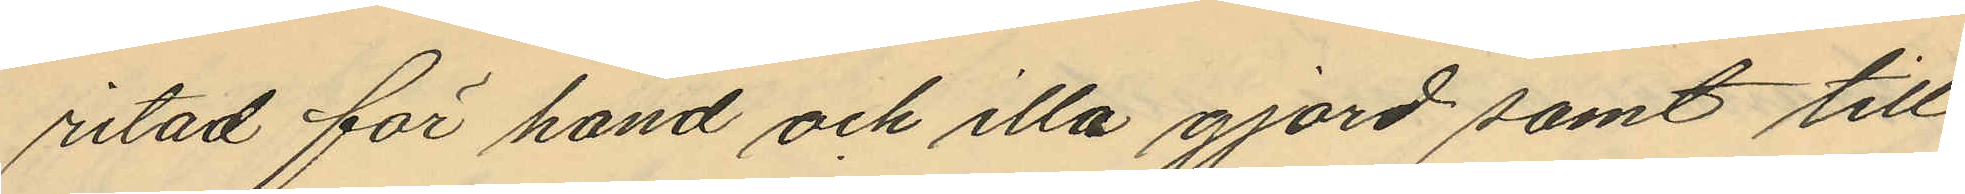ritad för hand och illa gjord samt till
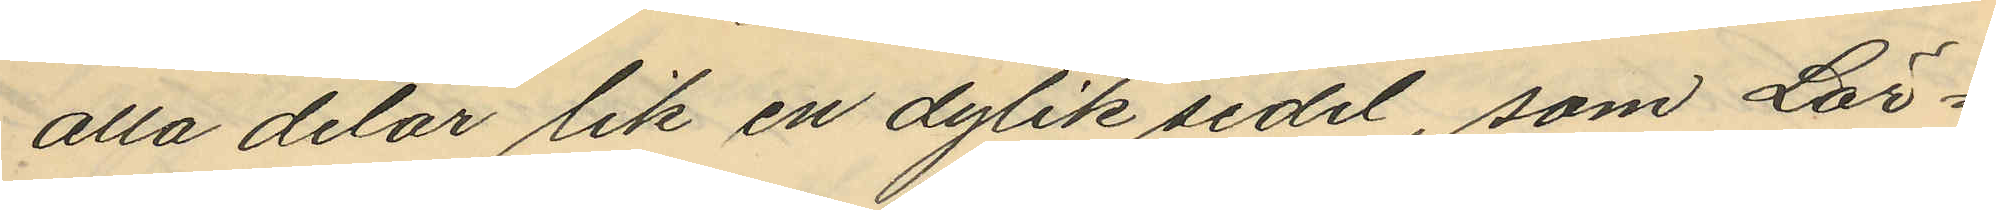alla delar lik en dylik sedel, som Lör¬
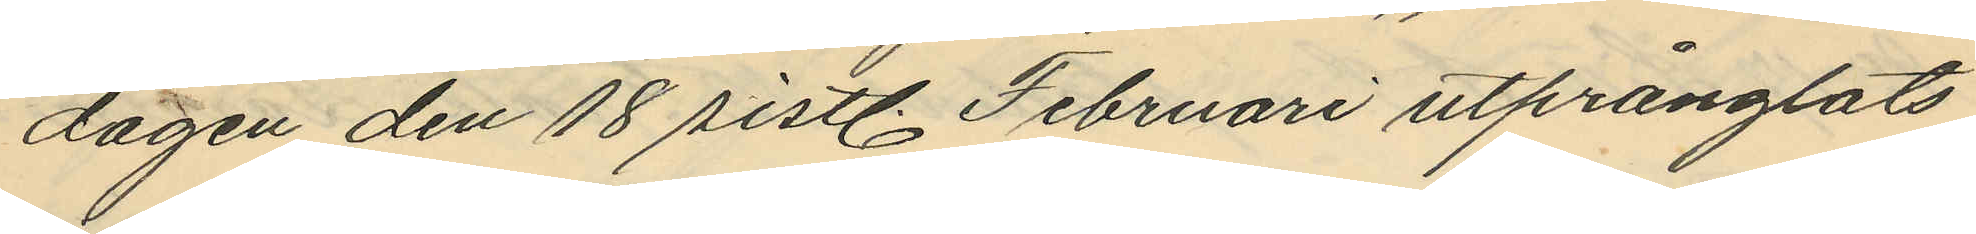dagen den 18 sistl Februari utprånglats
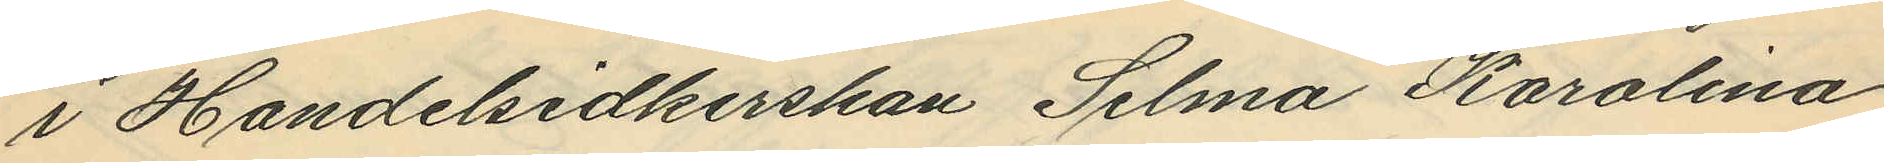i Handelsidkerskan Selma Karolina
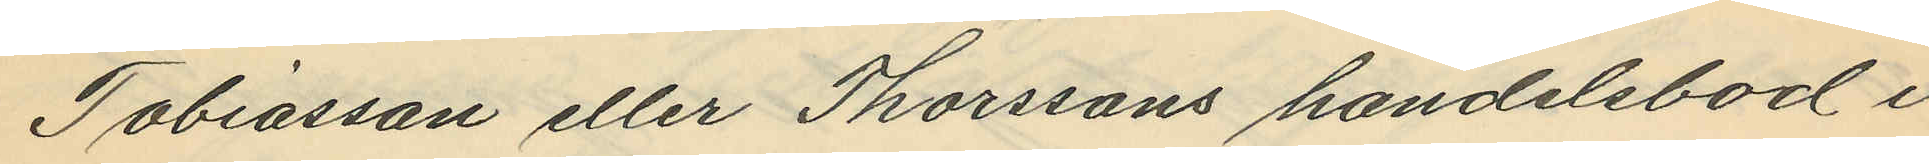Tobiasson eller Thorssons handelsbod i
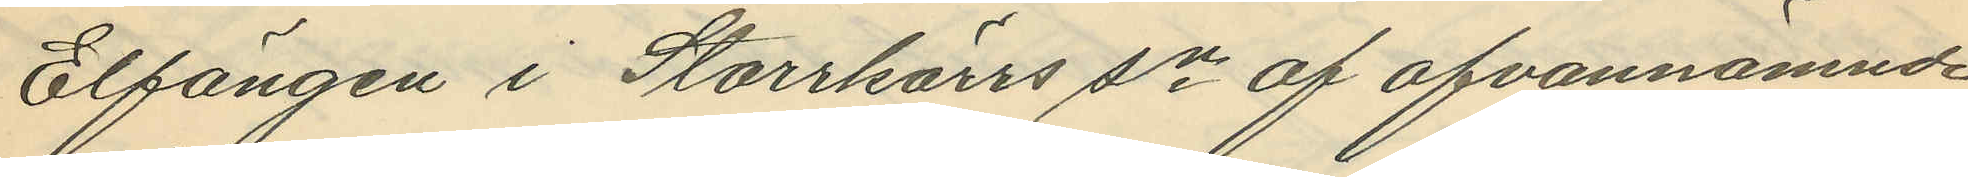Elfängen i Starrkärrs sn af ofvannämnde
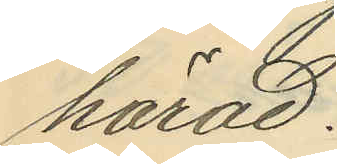härad.
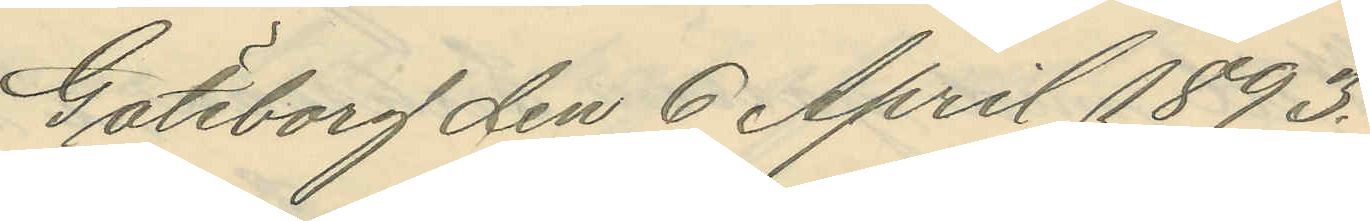Göteborg den 6 April 1893.
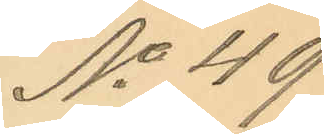No 49
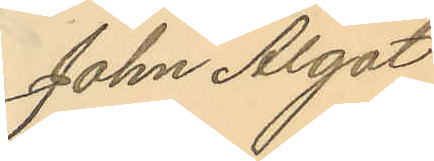John Algot
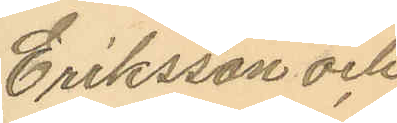Eriksson och
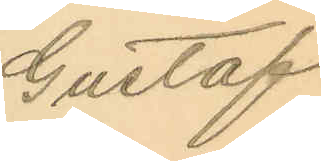Gustaf
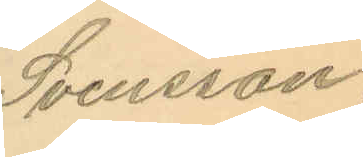Svensson.
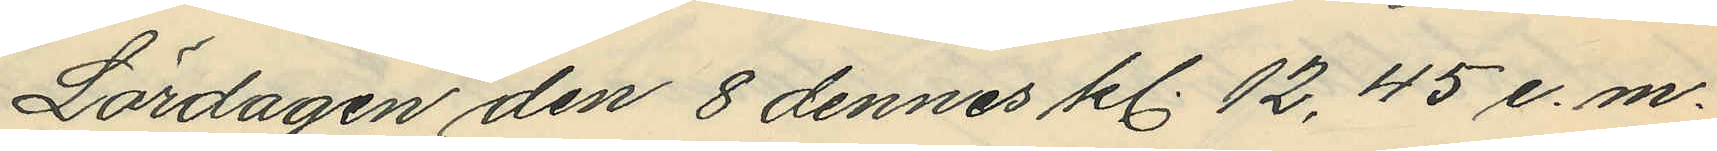Lördagen den 8 dennes kl. 12,45 e.m.
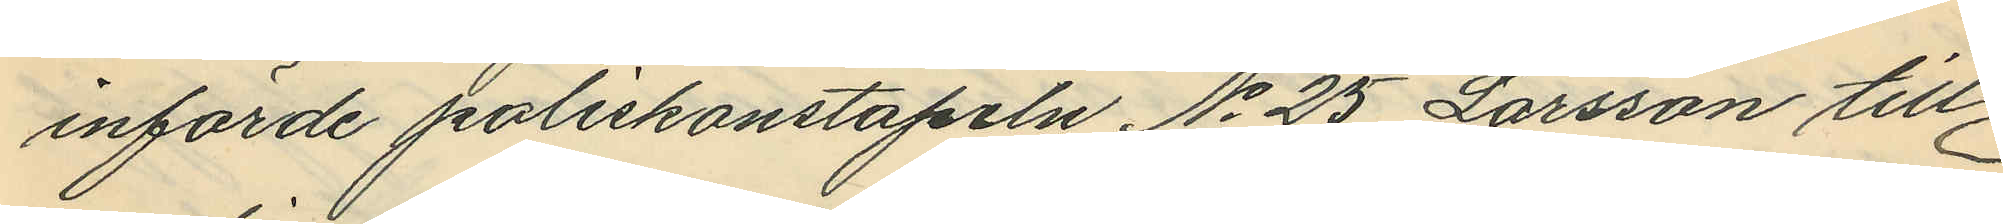införde poliskonstapeln No 25 Larsson till
